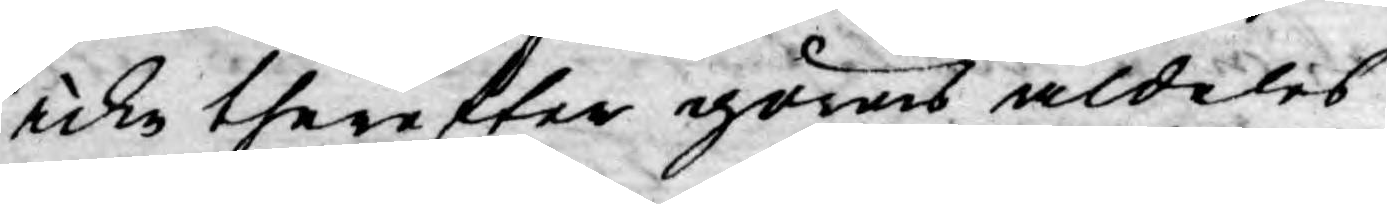icke therefter göras aldeles
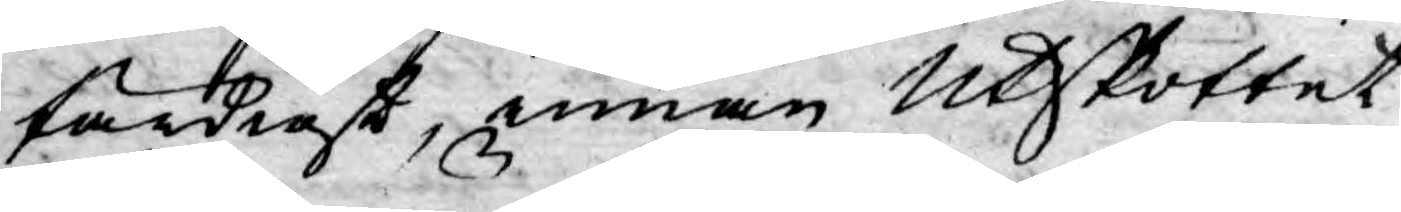färdigt, innan Utskottet
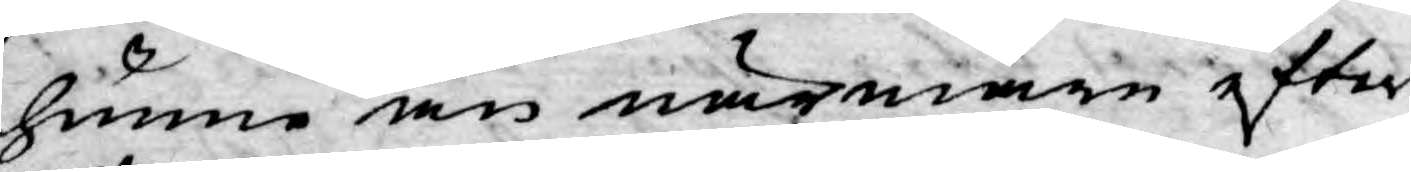hunne än närmare efter¬
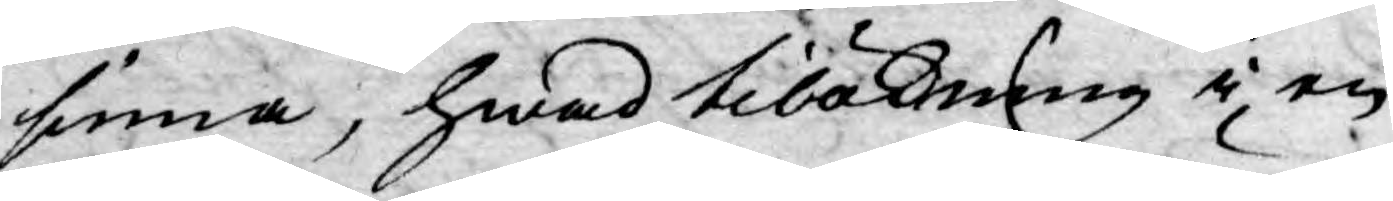finna, hwad tilökning i en
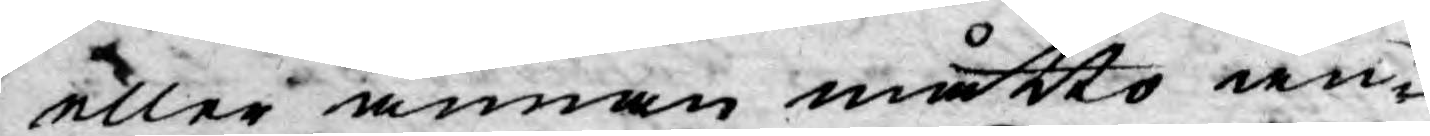eller annan måtto än¬
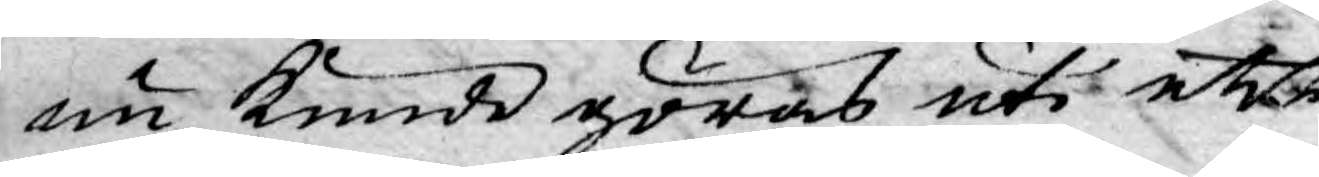nu kunde göras uti ett
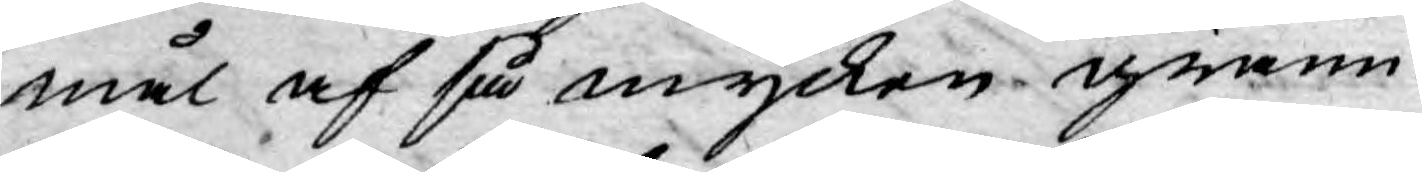mål af så mycken grann¬
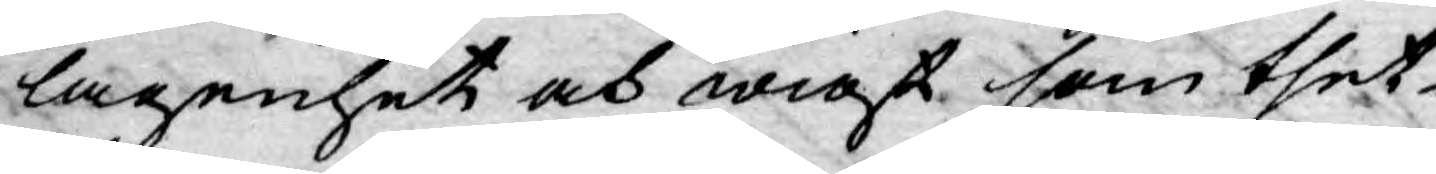lagenhet och wigt som thet¬
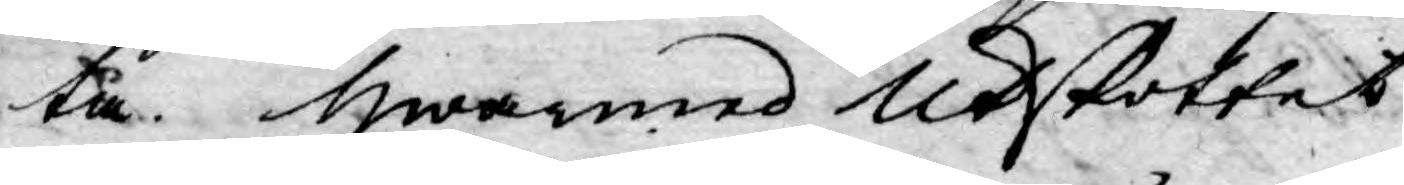ta. Hwarmed Utskottet
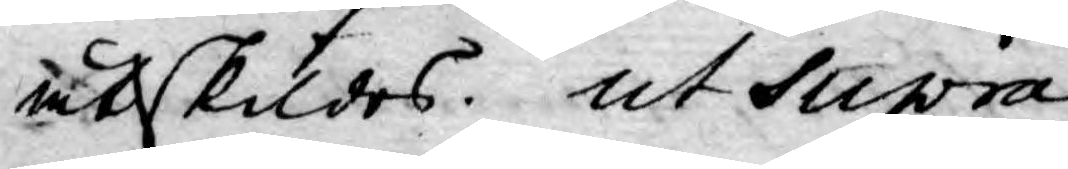åtskildes. ut Supra.
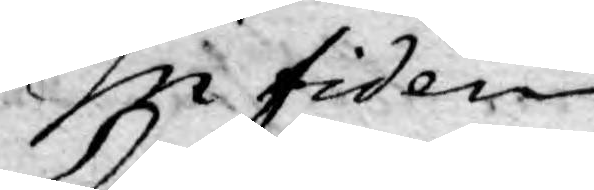 In fidem
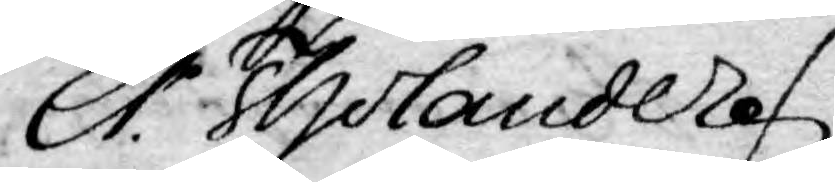Er. Tholander.
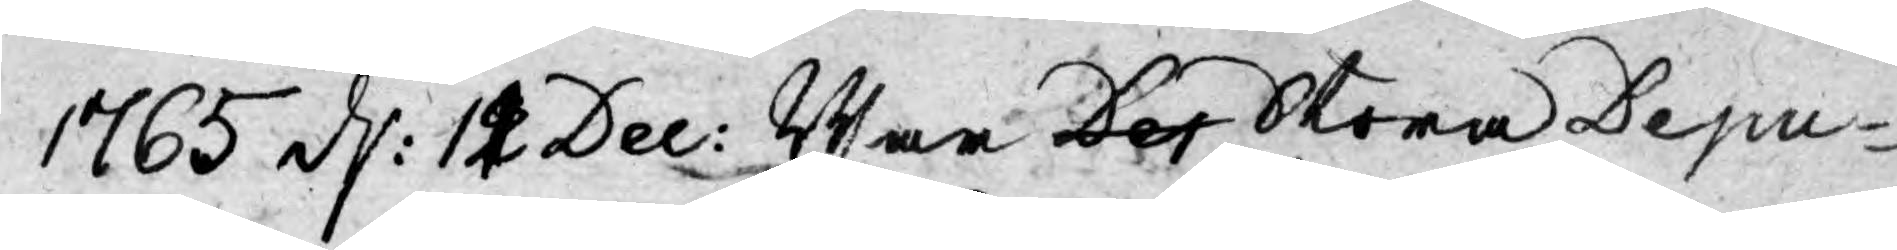1765 d: 12 Dec: War Dep Stora Depu-
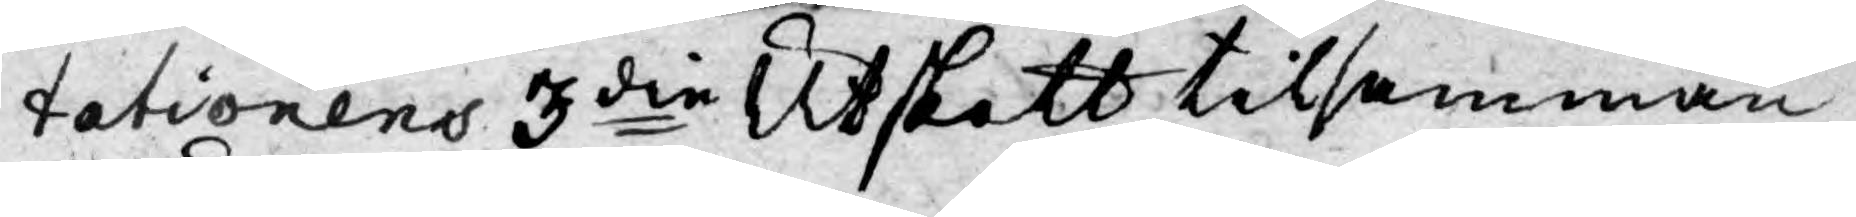tationens 3die Utskott tilsamman
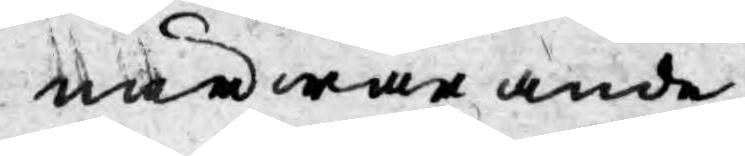närwarande
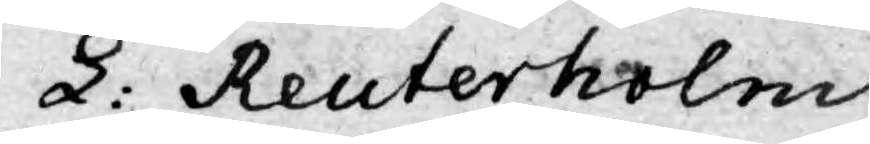L. Reuterholm
